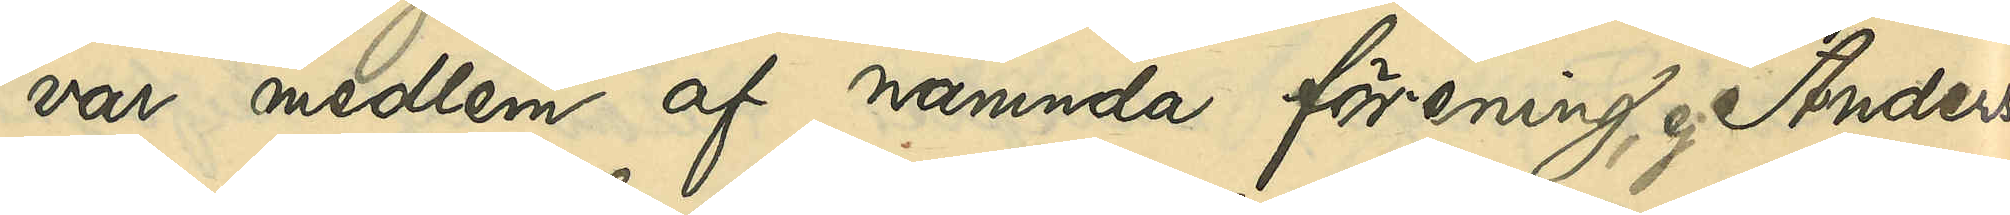var medlem af nämnda förening, ej Anders¬
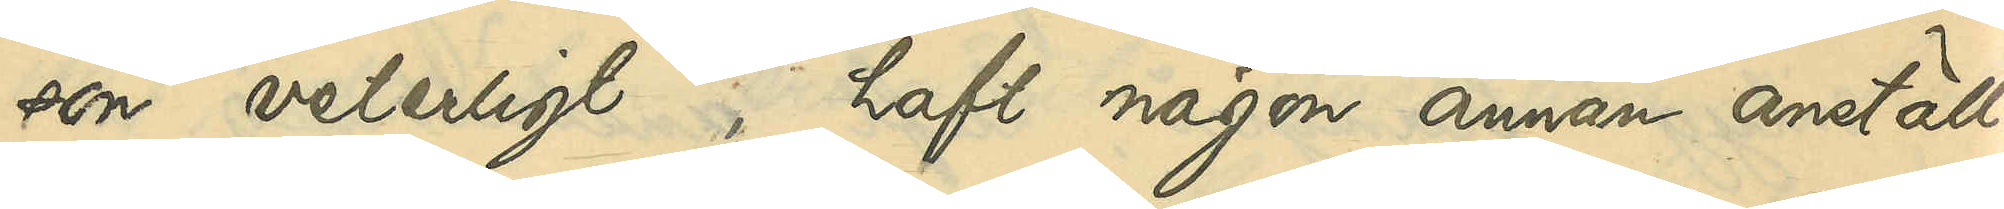son veterligt, haft någon annan anställ¬
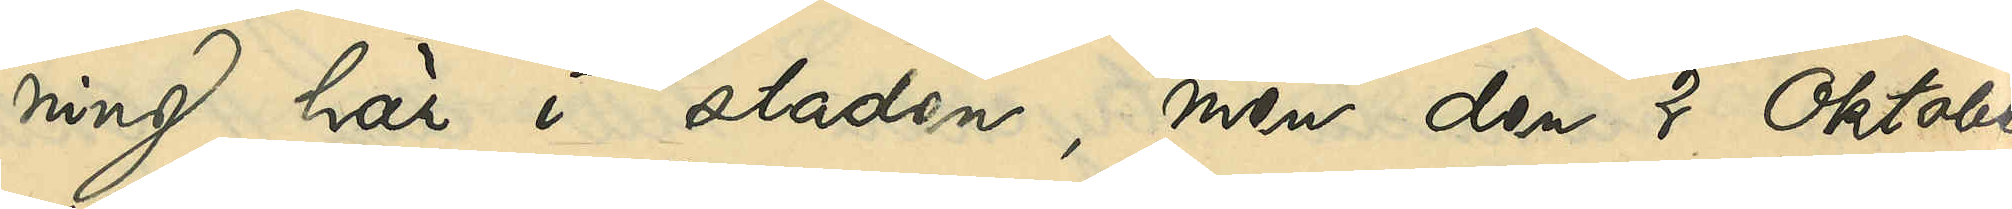ning här i staden, men den 2 Oktober
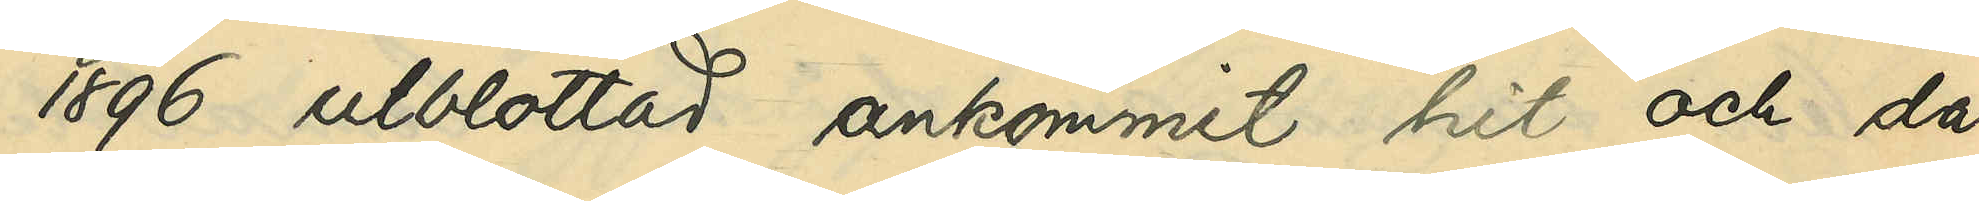1896 utblottad ankommit hit och då
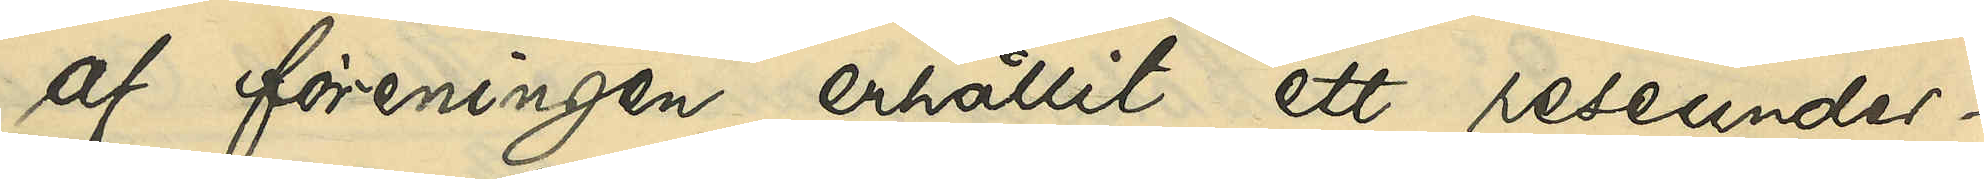af föreningen erhållit ett reseunder¬
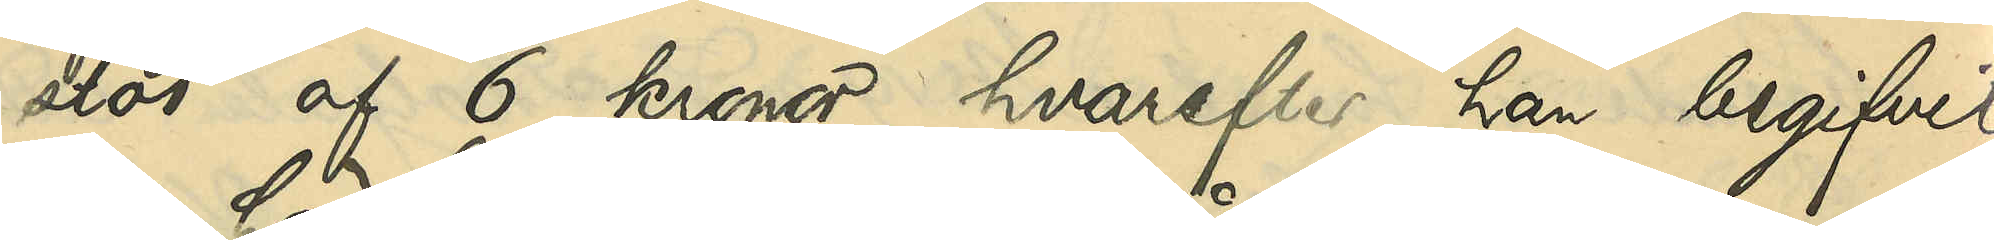stöd af 6 kronor, hvarefter han begifvit
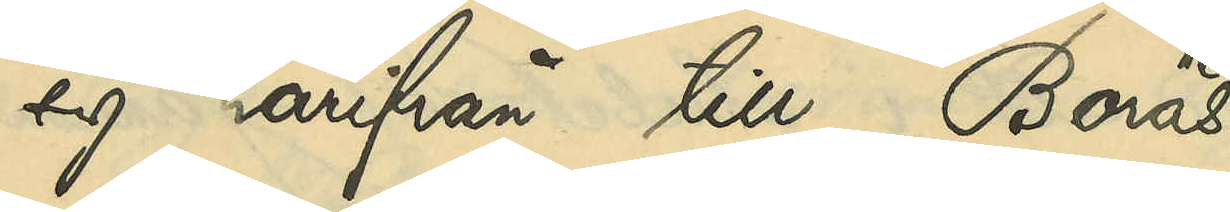sig härifrån till Borås.
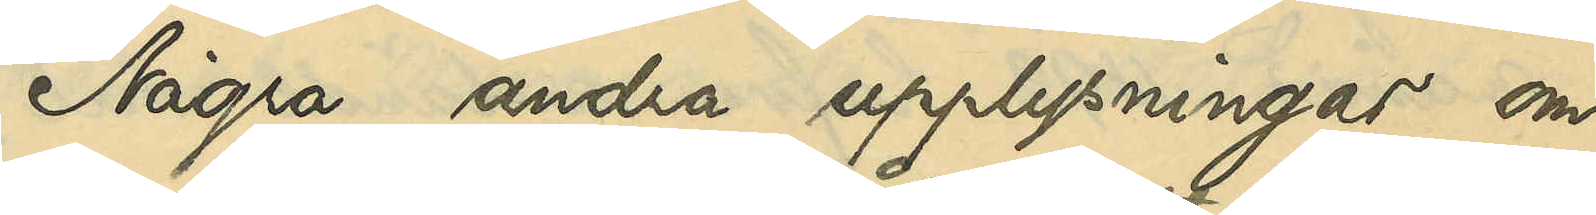Några andra upplysningar om
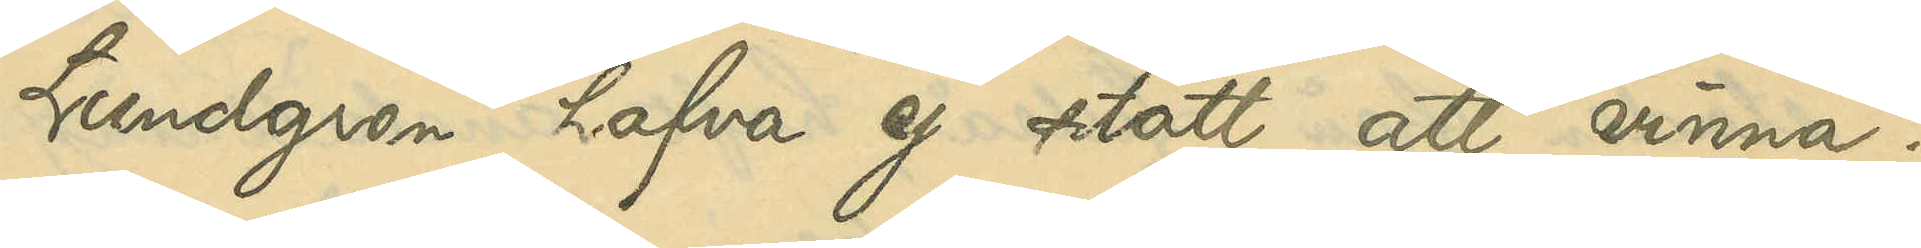Lundgren hafva ej stått att vinna.
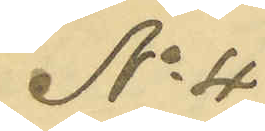No 4
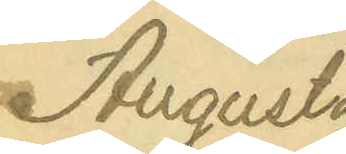Augusta
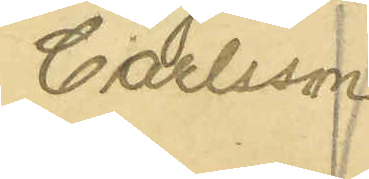Carlsson.
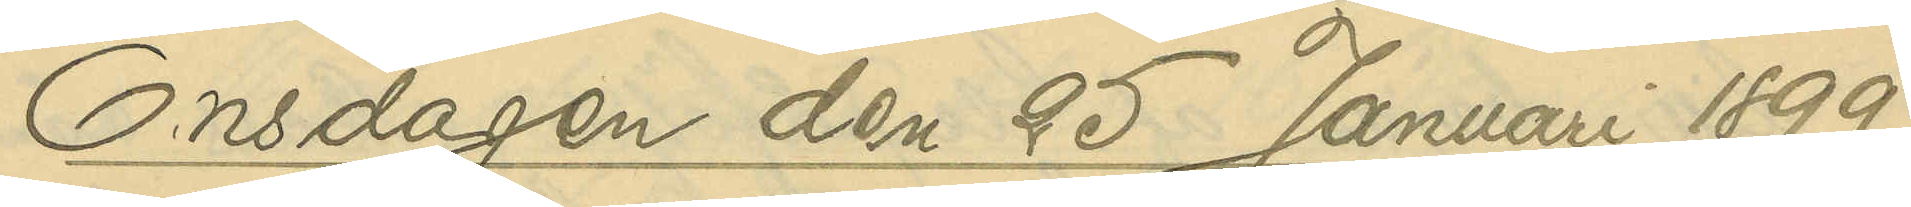Onsdagen den 25 Januari 1899
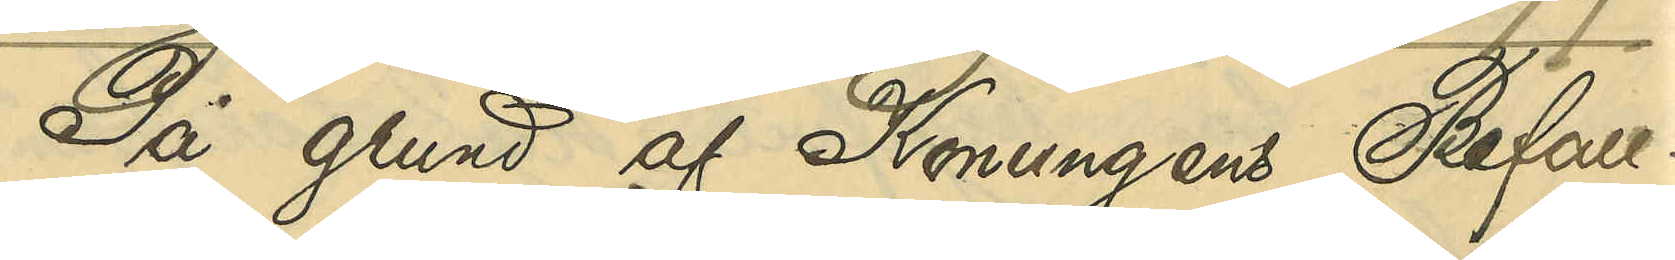På grund af Konungens Befall¬
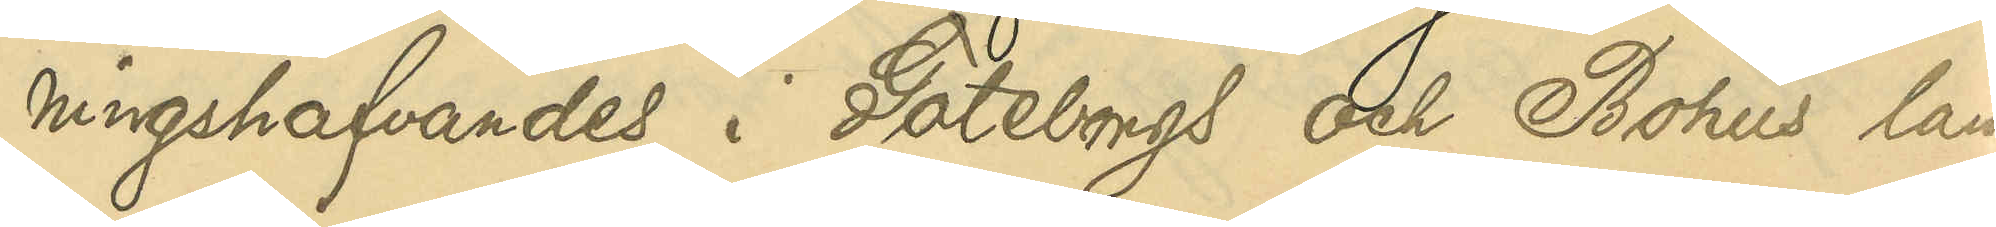ningshafvandes i Göteborgs och Bohus län
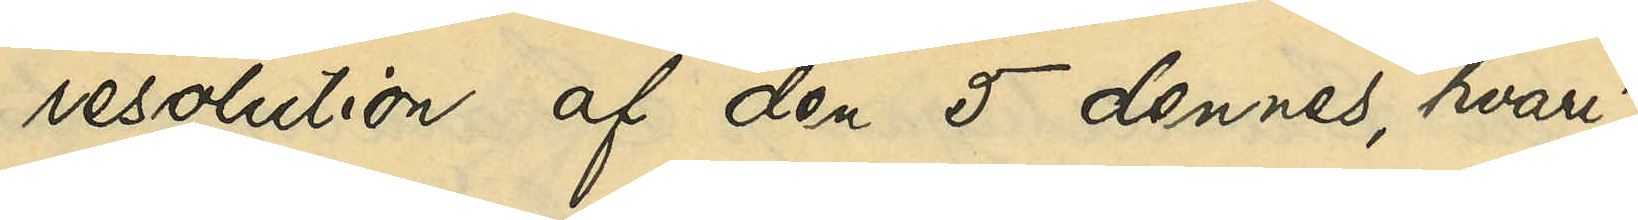resolution af den 5 dennes, hvari¬
